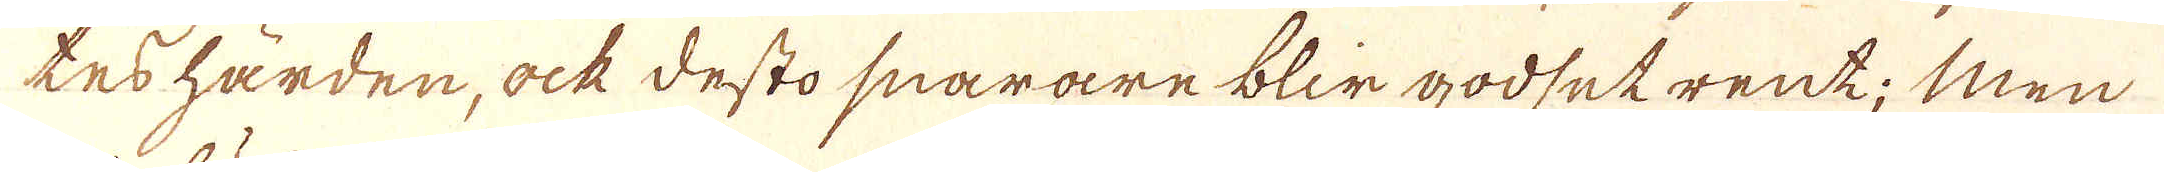tes hården, ock desto snarare blir godsetrent; Men
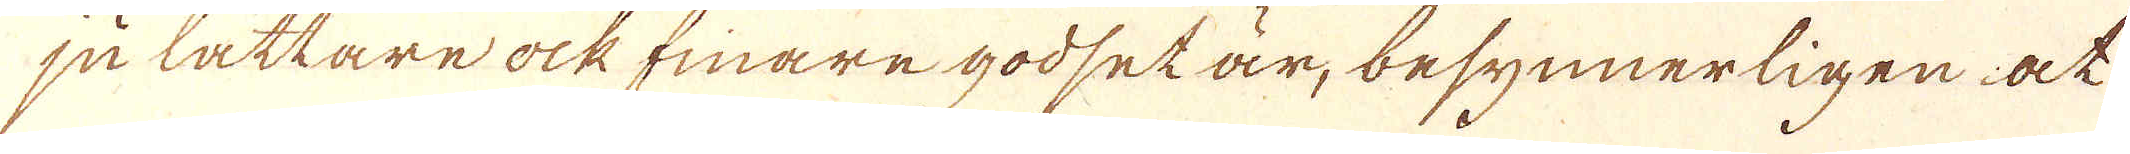ju lättare ock finare godset är, besynnerligen at
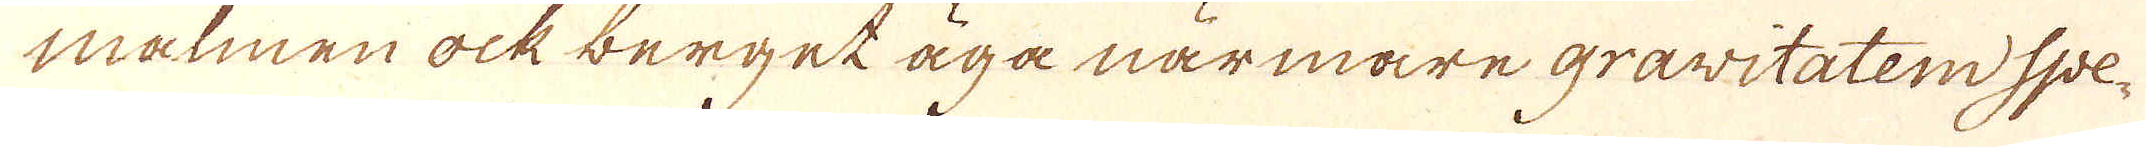målmen ock berget äga närmare gravitaten Spe-
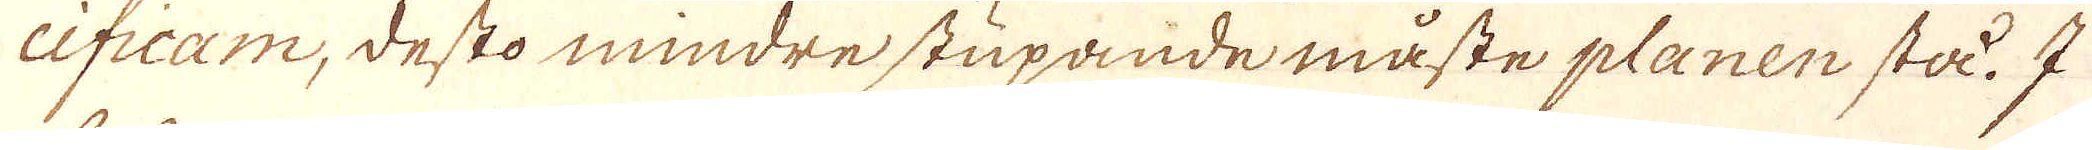cificam, desto mindre stupande måste planen sta. I
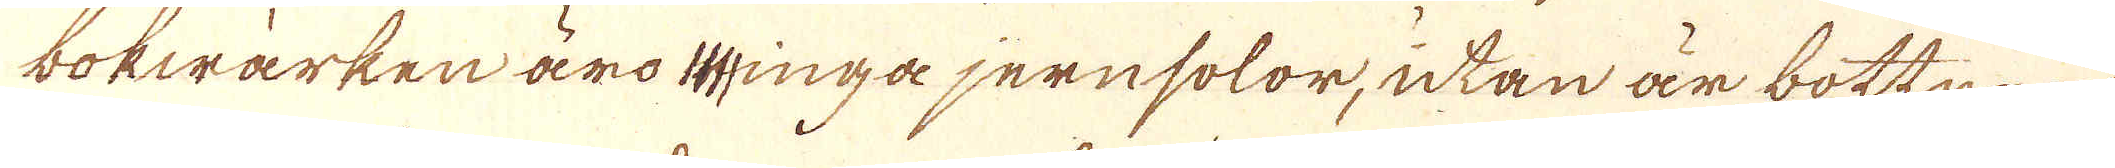bokwärken äro inga jernsolor, utan är bottnen
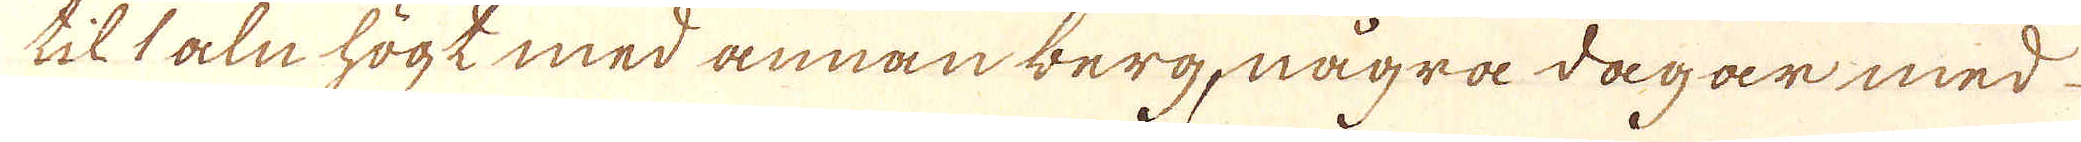til 1 aln högt med annan berg, några dagar med
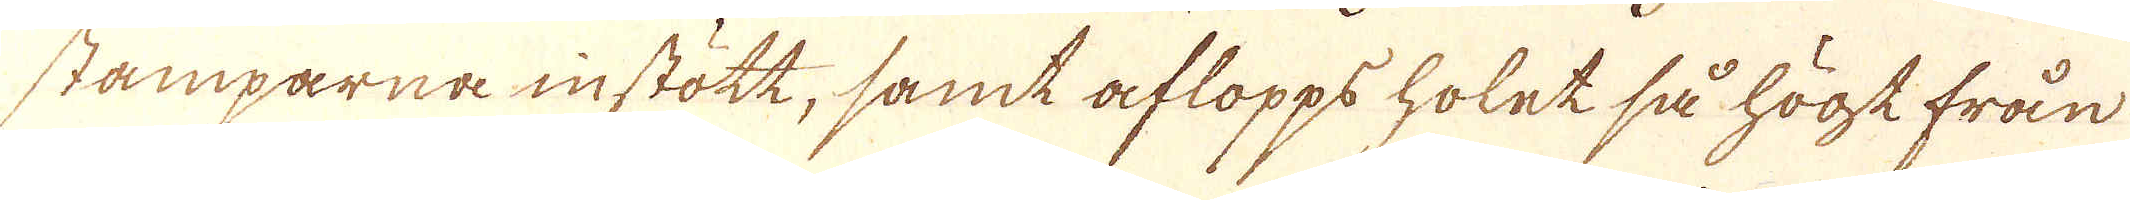stämparna instött, samt aflopps holet så högt från
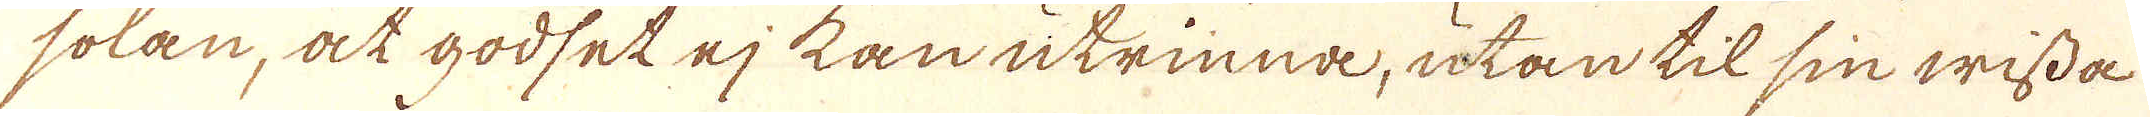solan, at godset ej kan utrinna, utan til sin wissa
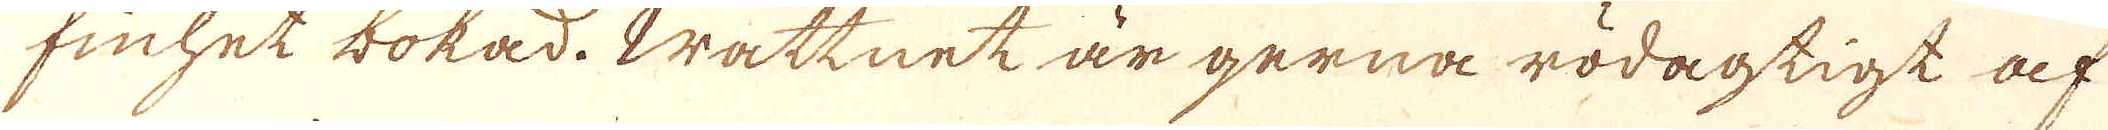finhet bokad. Wattnet är gerna rödagtigt af
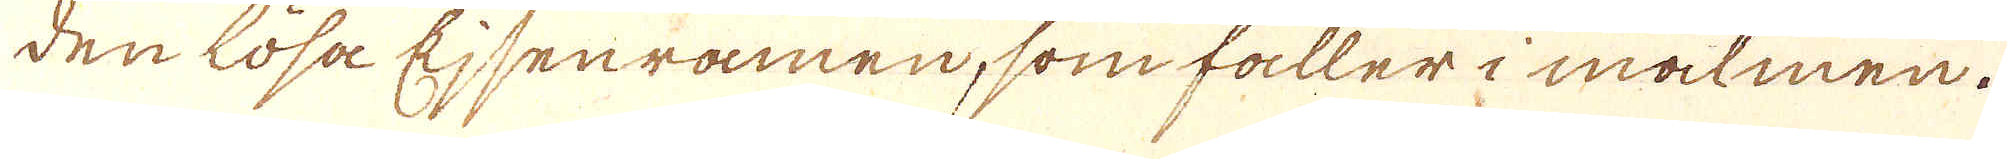den lösa Ejsenramen, som faller i malmen.
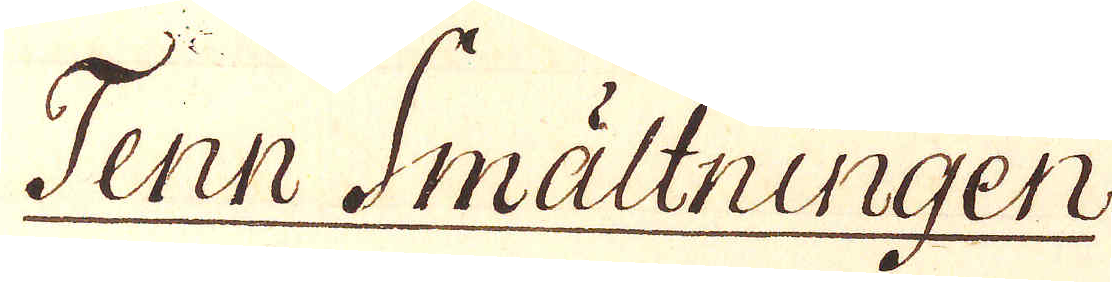Tenn Smältningen
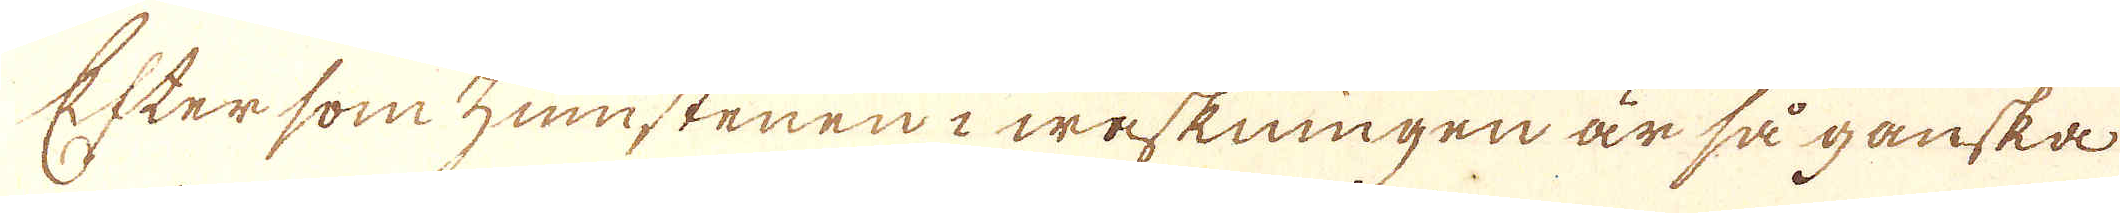Efter som zunstenen i waskningen är så ganska
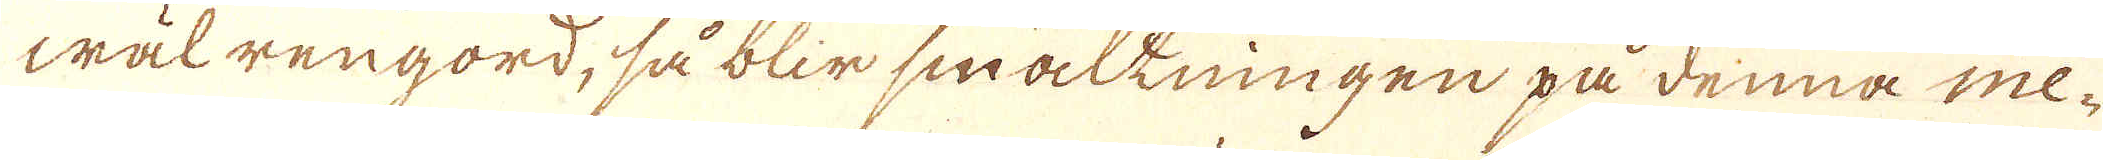wäl rengord, så blir smalkningen på denna me-
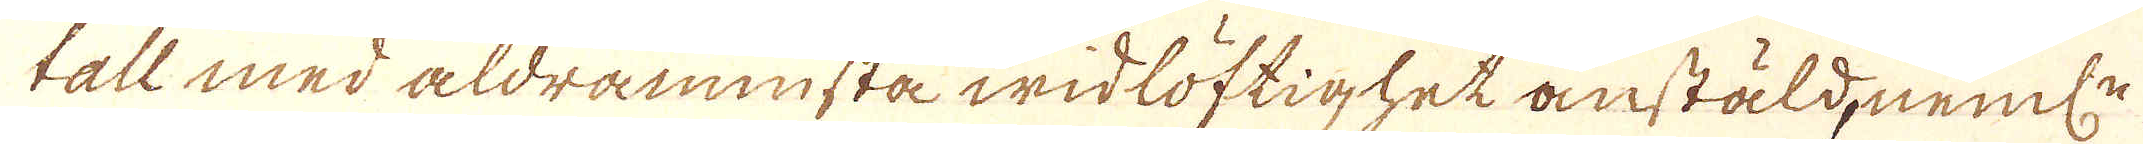tall med aldraminsta widlöftighet anstäld, neml:n
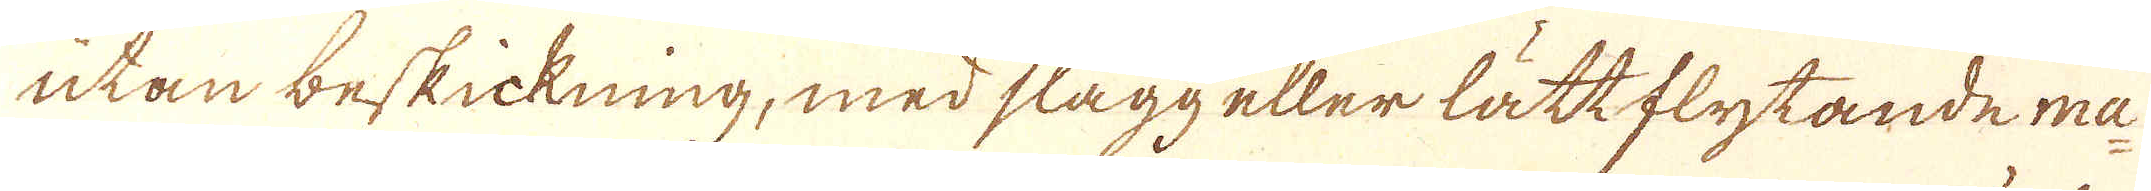utan beskickning, med slagg eller lättflytande ma-
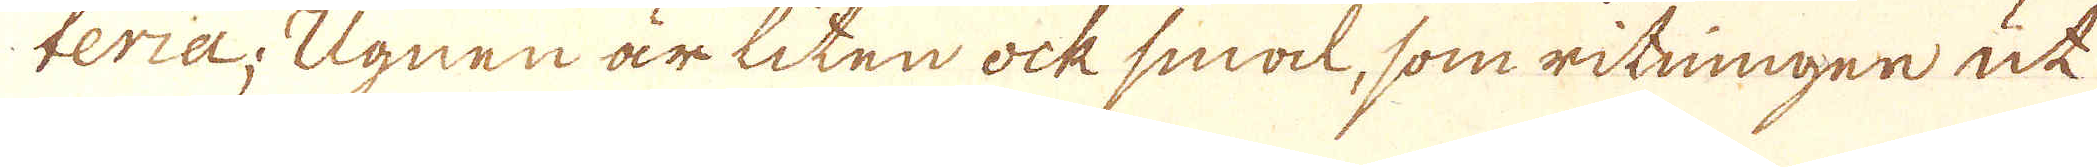teria; Ugnen är liten ock smal, som ritningen ut
